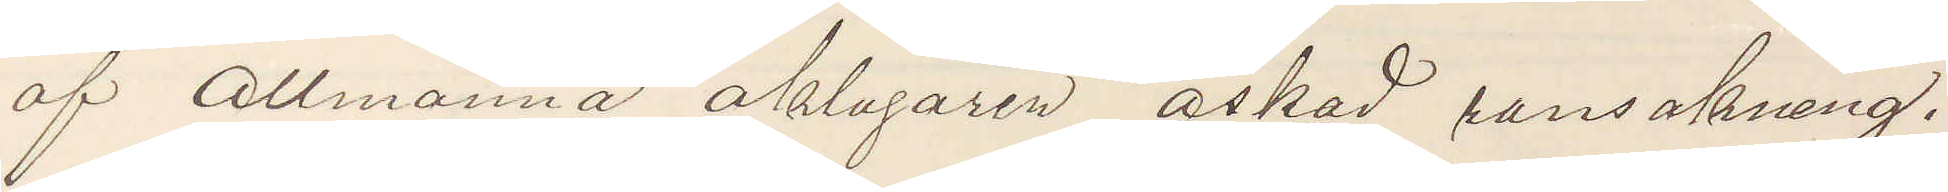af Allmänna åklagaren äskad ransakning.
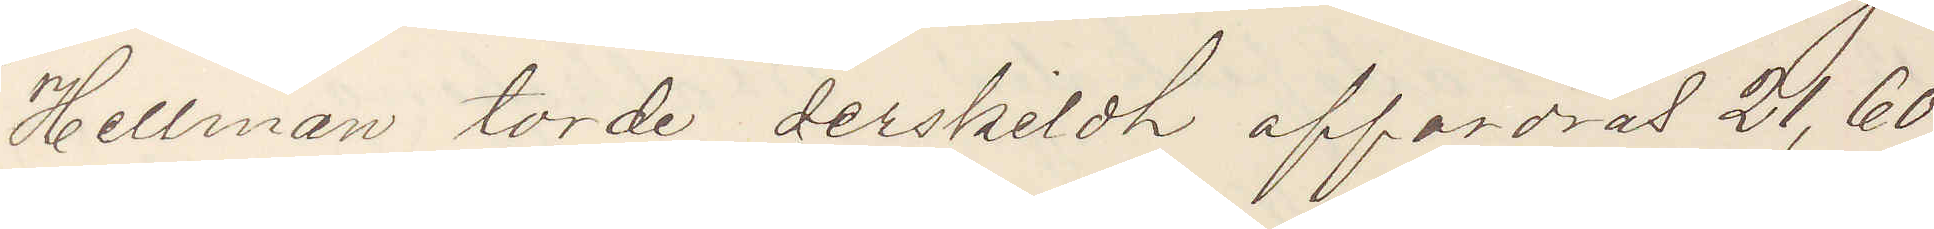Hellman torde serskildt affordras 21,60
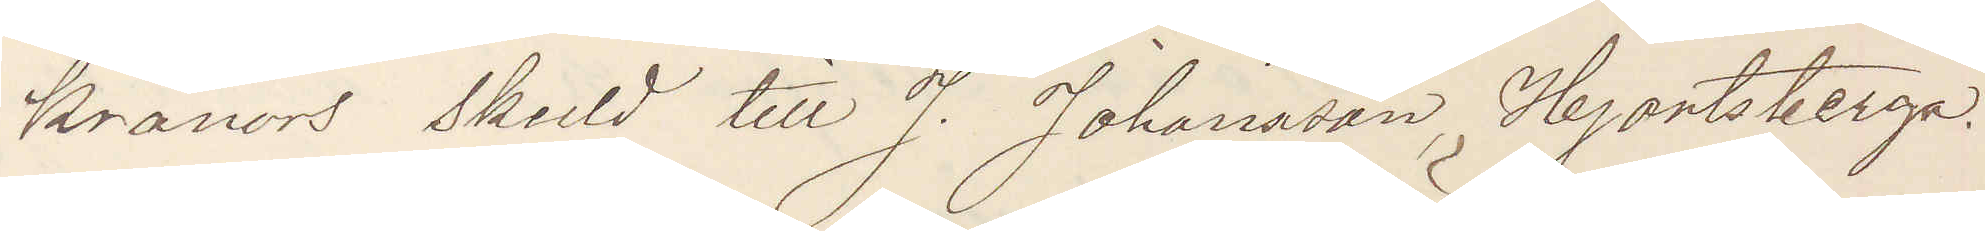kronors skuld till J. Johansson Hjortsberga.
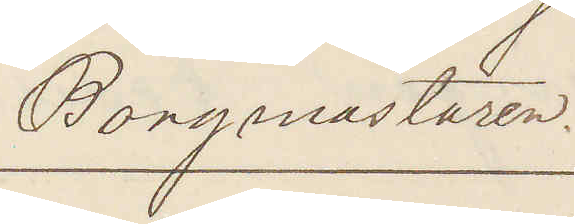Borgmästaren.
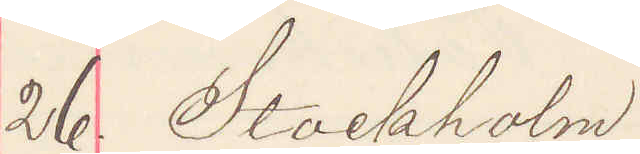26. Stockholm
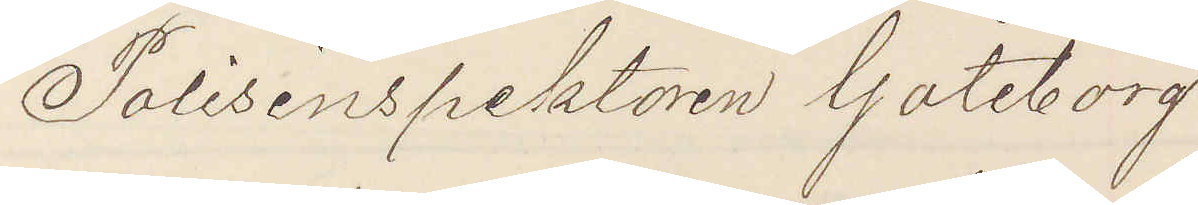Polisinspektorn Göteborg
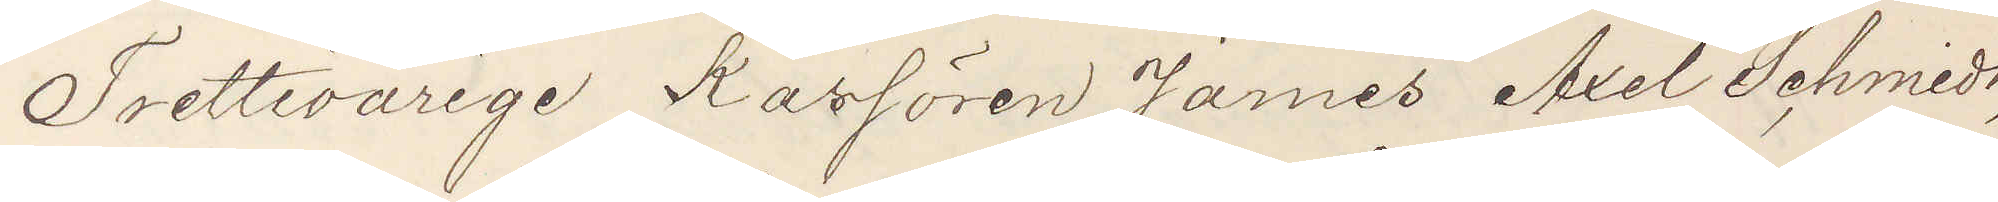Trettioårige Kassören James Axel Schmidt,
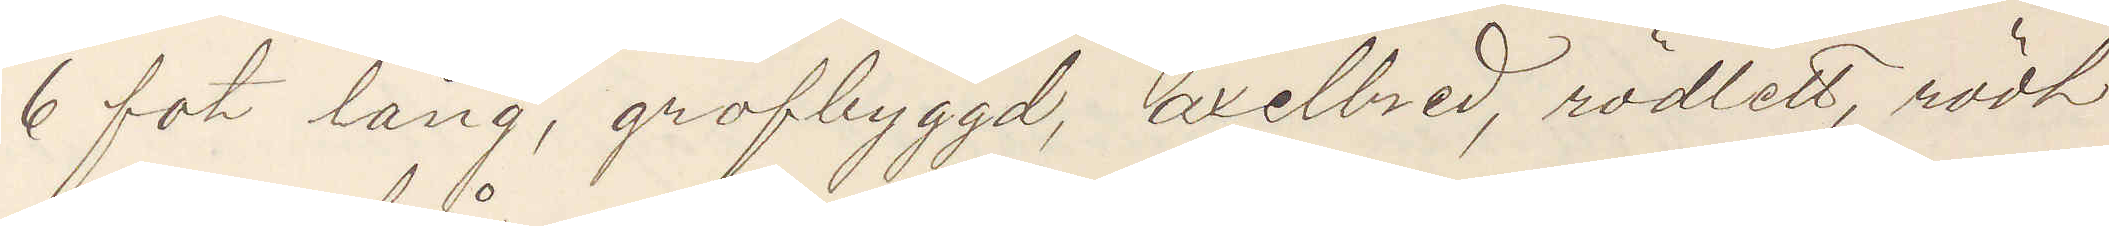6 fot lång, grofbyggd, axelbred, rödlett, rödt
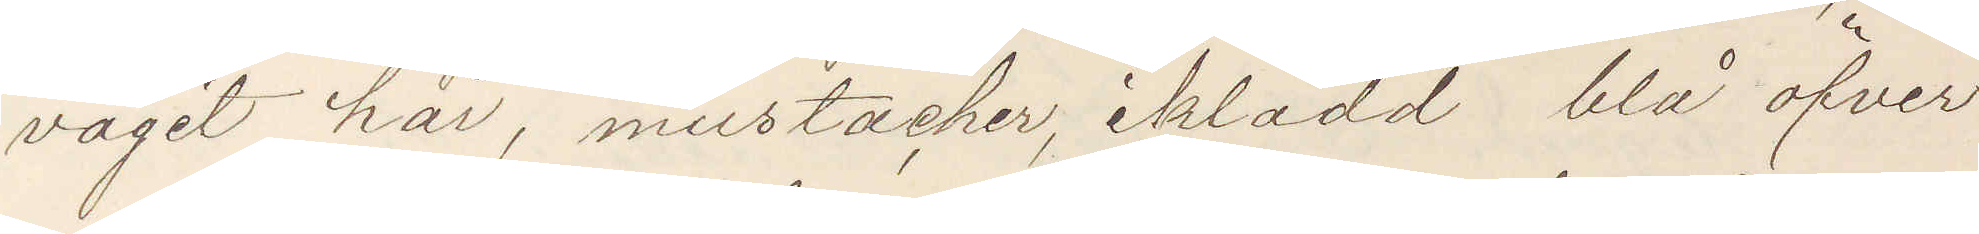vågit håt, mustacher, iklädd blå öfver¬
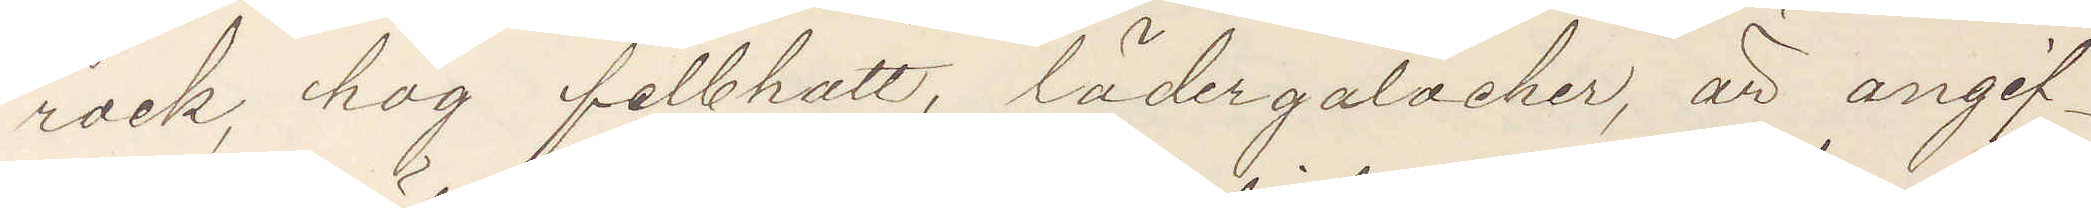rock, hög felbhatt, lädergaloscher, är angif¬
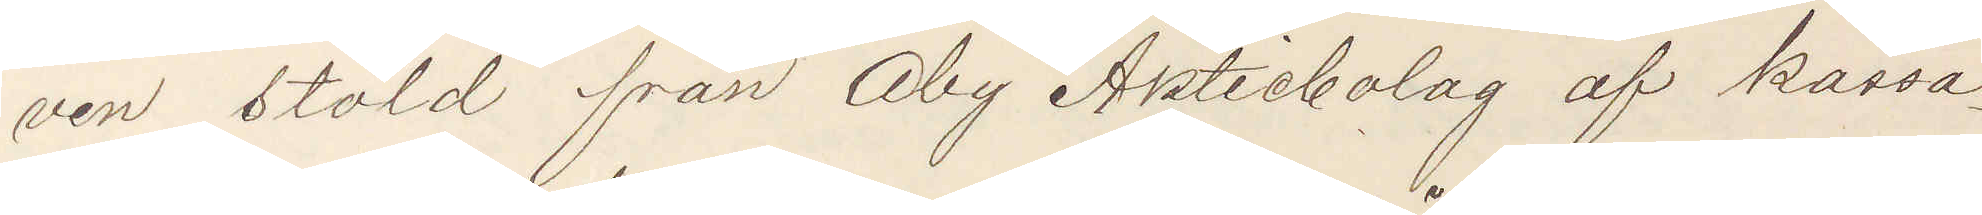ven stöld från Åby Aktiebolag af kassa¬
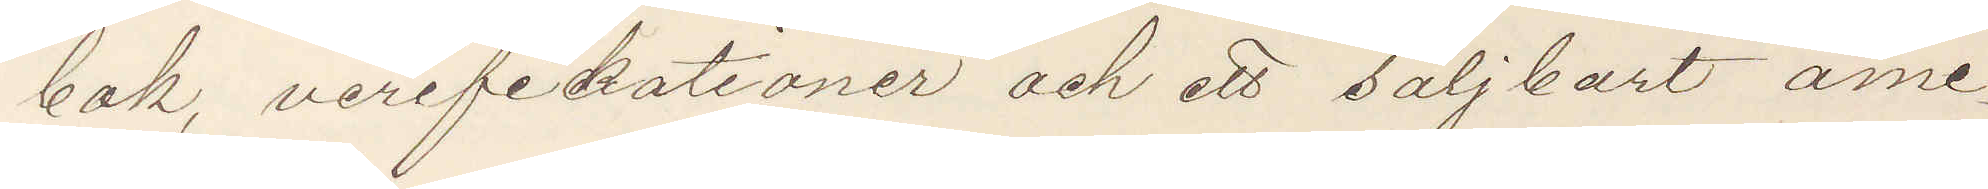bok, verifikationer och ett säljkort ame¬
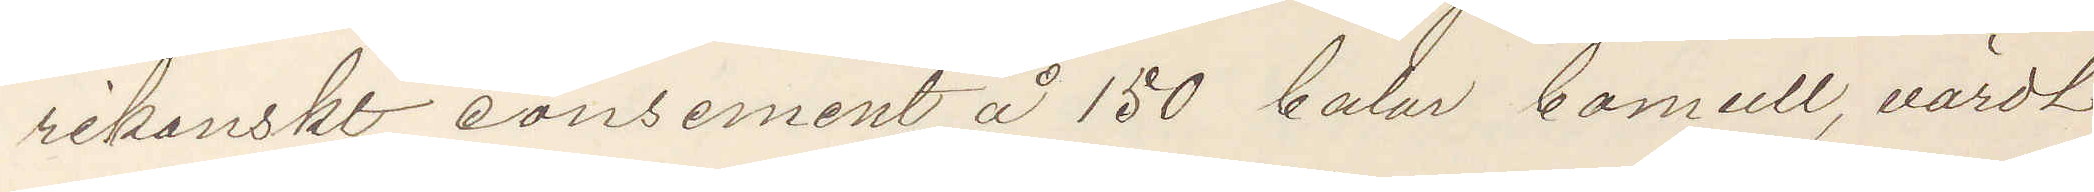rikanskt consement å 150 balar bomull, värdt
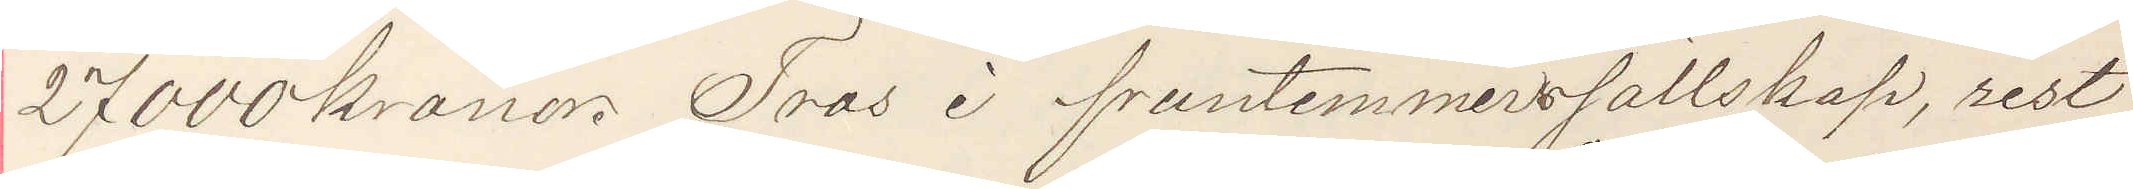27000 kronor. Tros i fruntimmerssällskap, rest
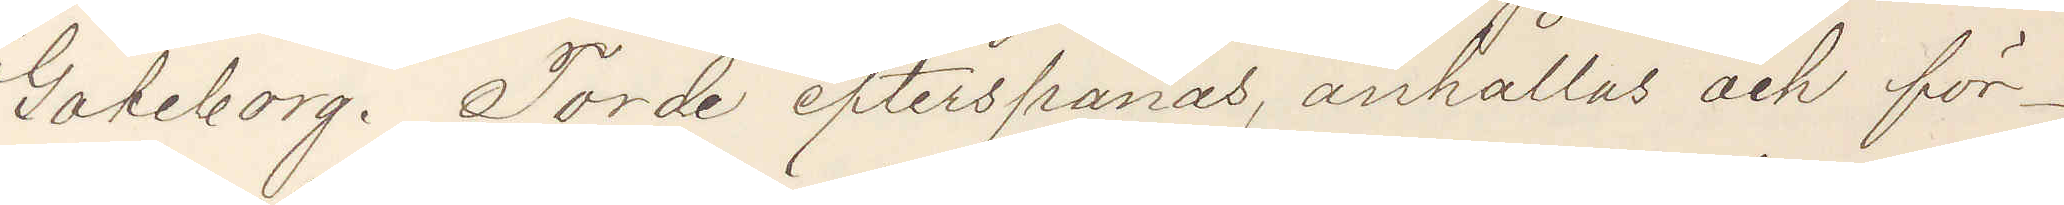Göteborg. Torde efterspanas, anhållas och för¬
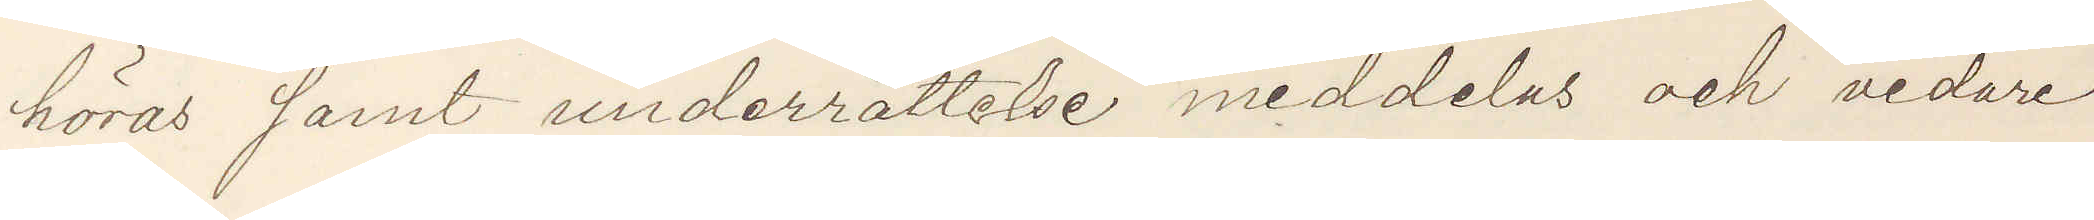höras samt underrättelse meddelas och vidare
